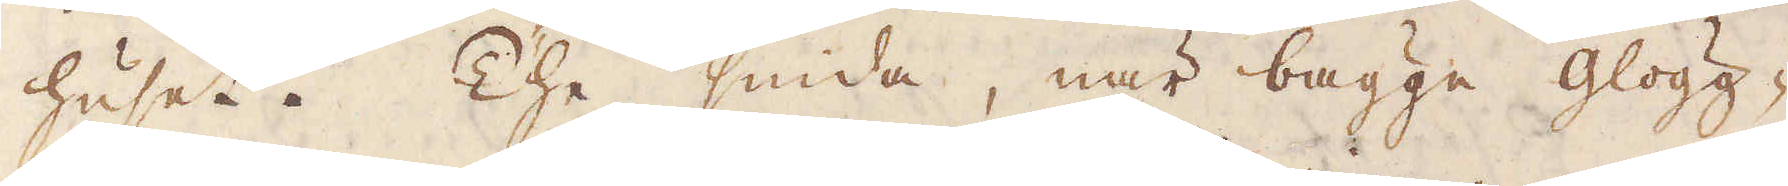huset. The smida, när bägge glögg-
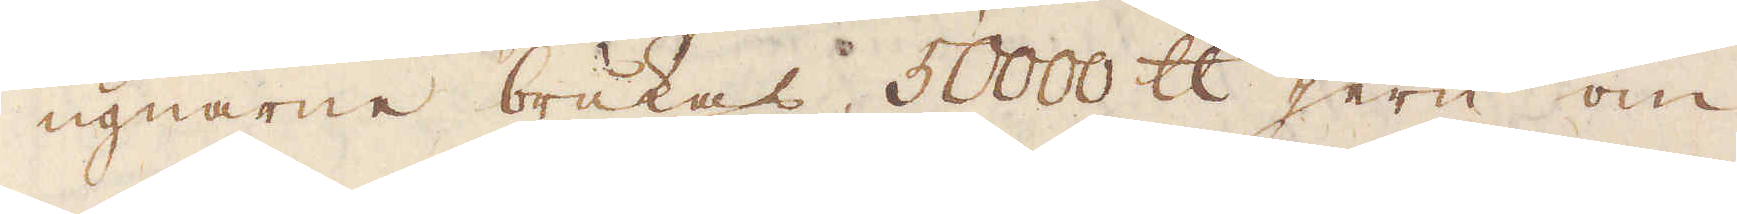ugnarne brukas, 50000 skålpund jern om
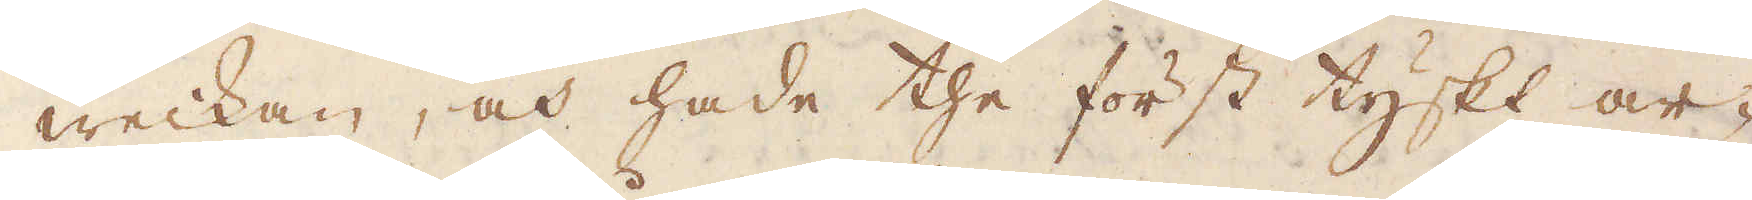weckan, och hade the först tyskt ar-
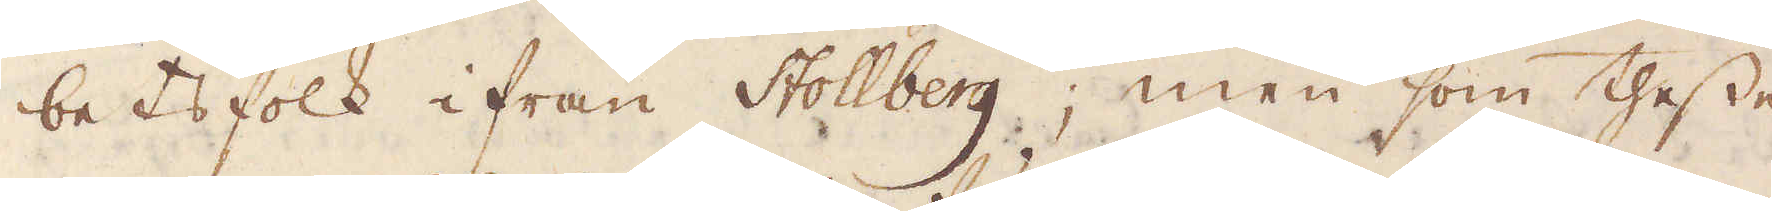betsfolk ifrån Stollberg; men som thesse
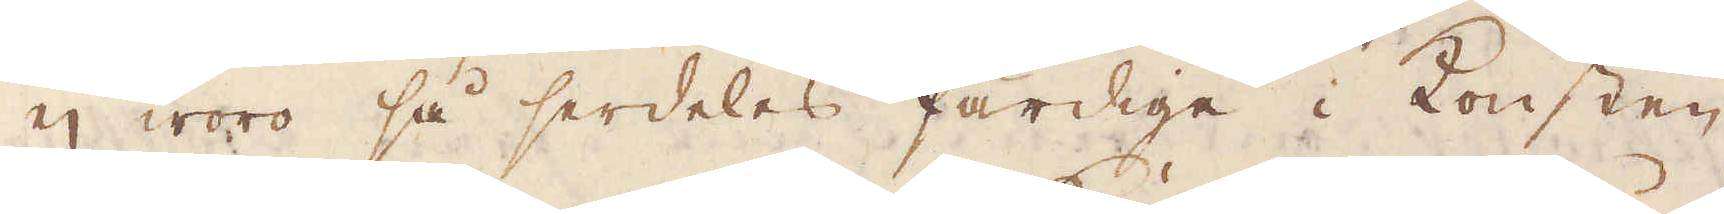ej woro så serdeles färdige i Konsten,
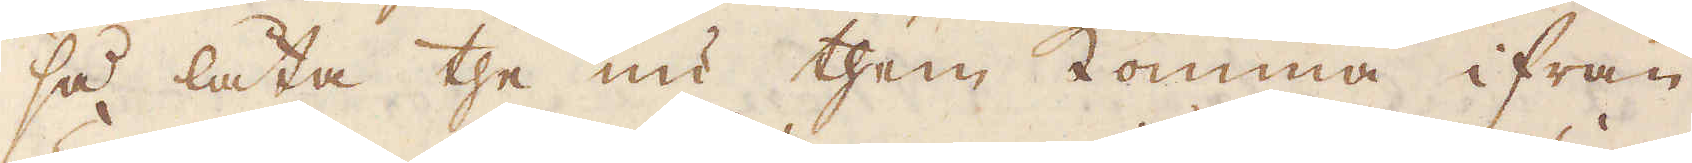så låta the nu them komma ifrån
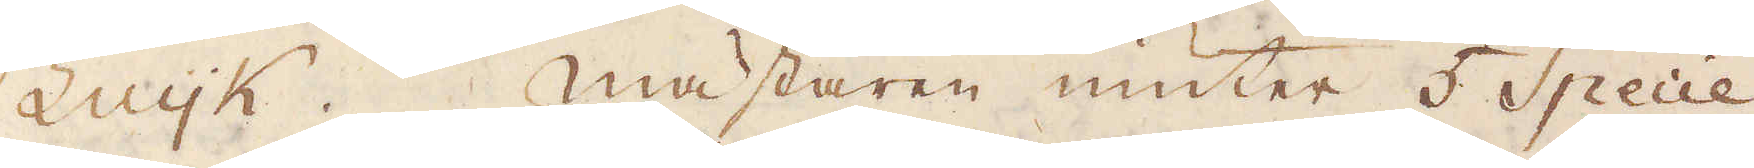Luijk. Mästaren niuter 5 Specie
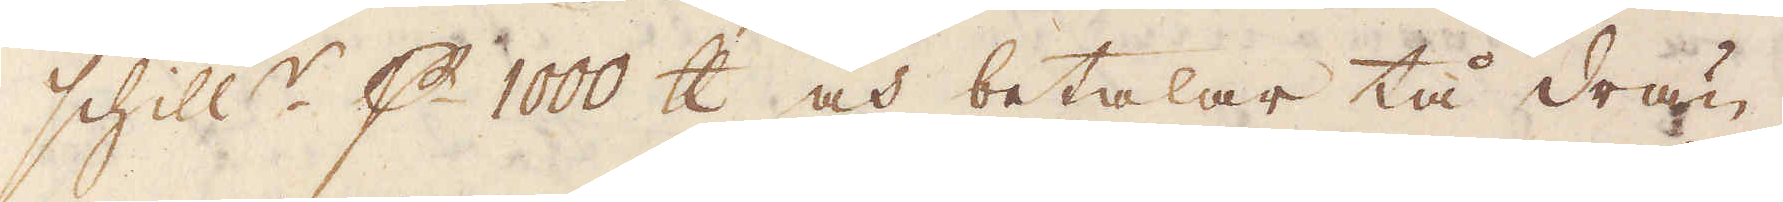schill:r p 1000 skålpund och betalar tå drän-
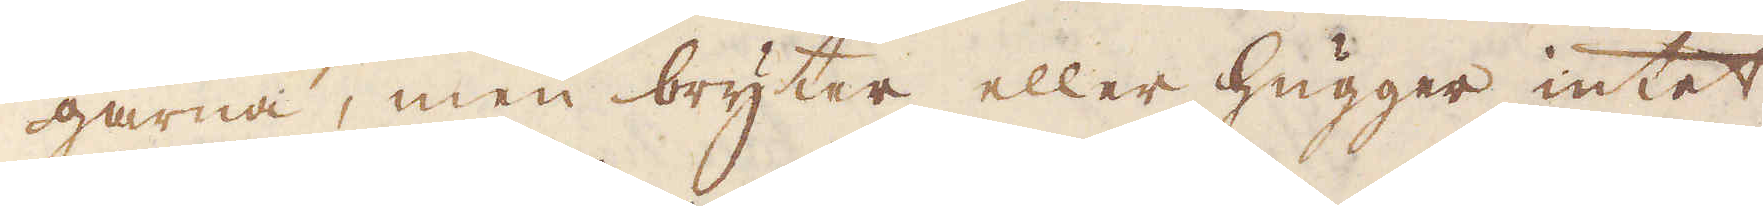garna, men bryter eller hugger intet
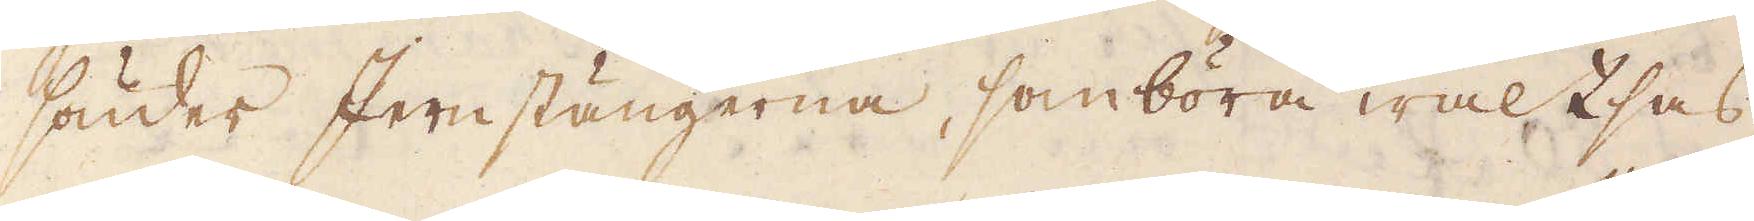sönder Jernstängerna, som böra waltsas
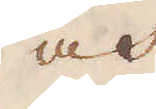och
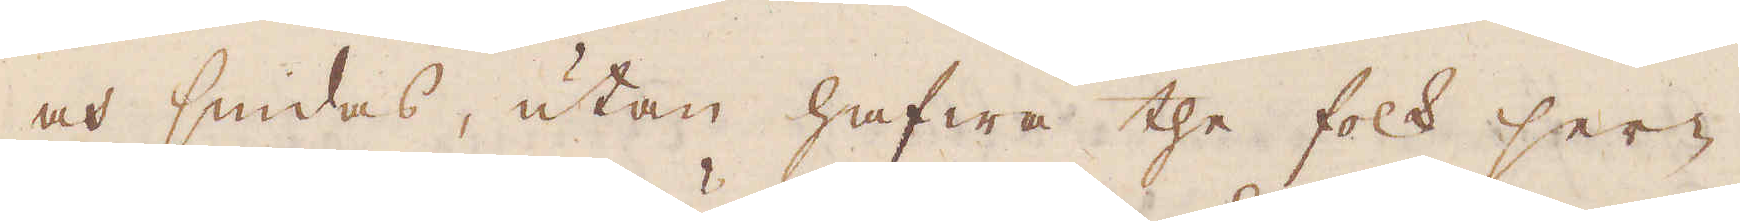och smidas, utan hafwa the folk ser-
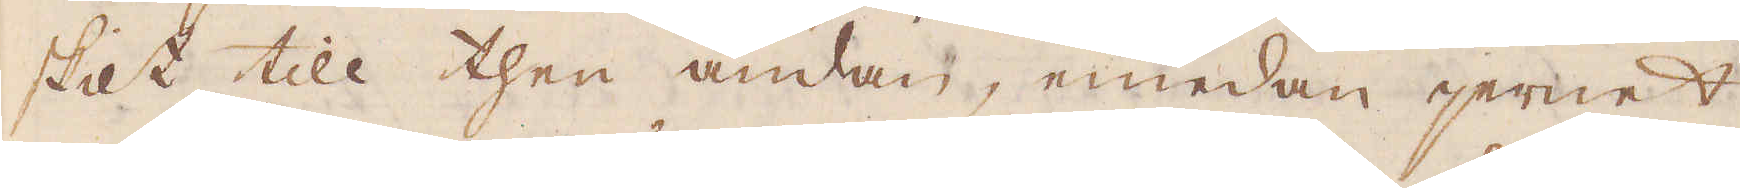skilt till then ändan, emedan jernet
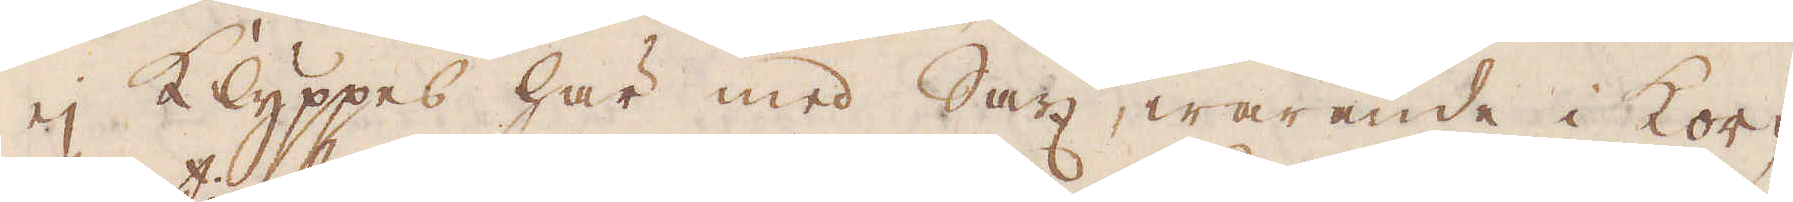ej klyppes här med Sax, warande i kor-
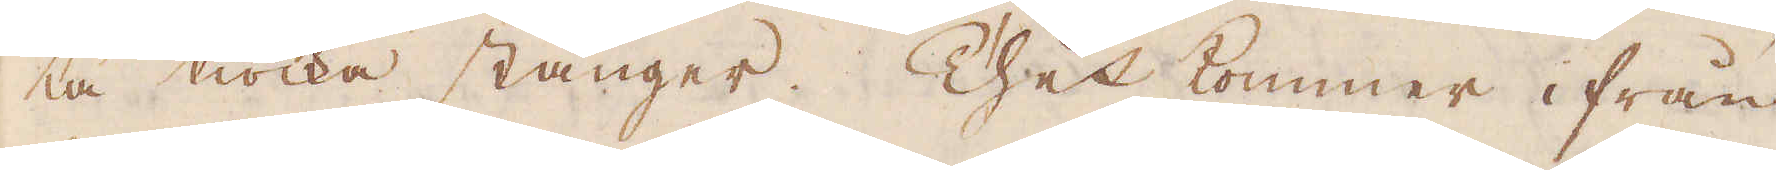ta tiocka stänger. Thet kommer ifrån
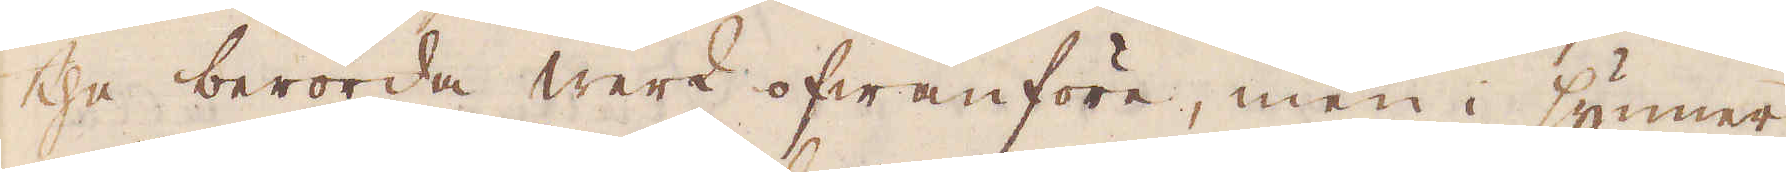the berörda werk ofwanföre, men i synner-
